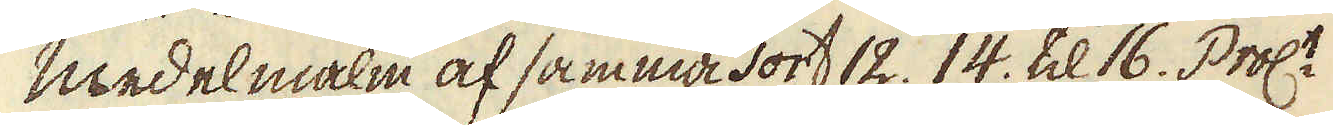medelmalm af samma sort 12. 14. til 16. Proc:t
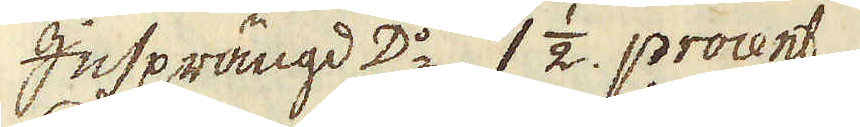Insprängd D:o 1 1/2. procent.
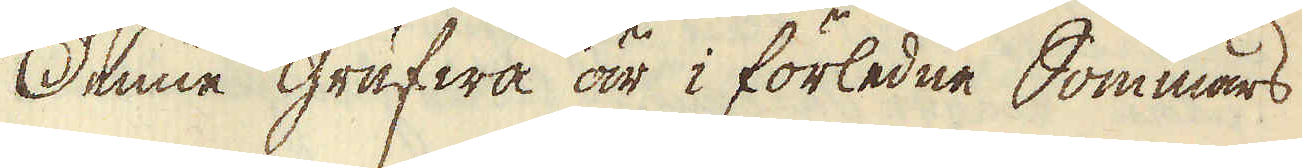Denne grufwa är i förledne Sommars
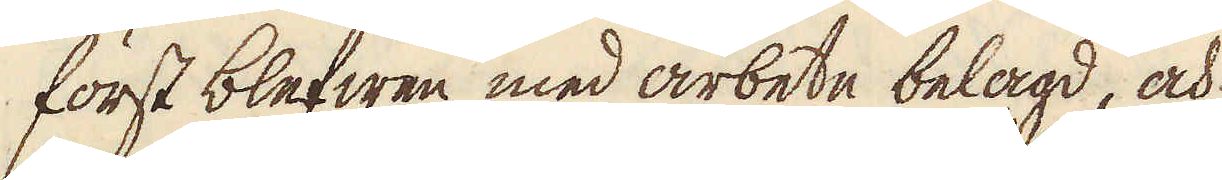först blefwen med arbete belagd, och
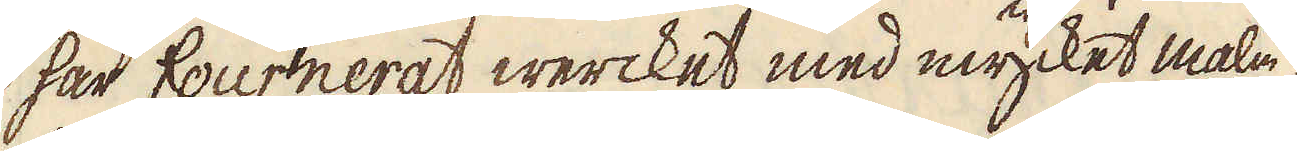har fournerat wercket med mycket malm.
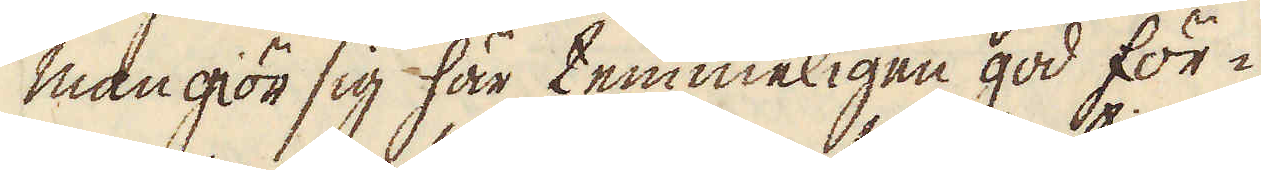Man giör sig här temmeligen god för-
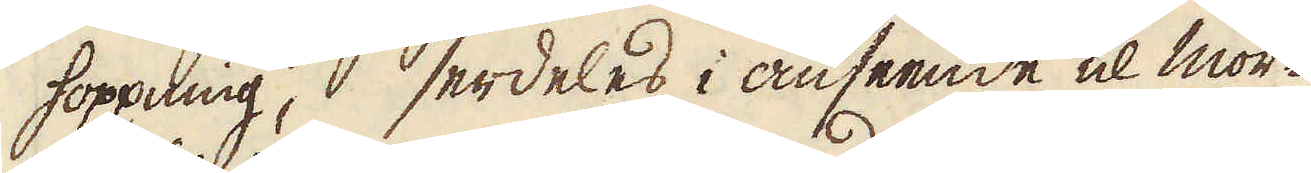hoppning, serdeles i anseende til mor-
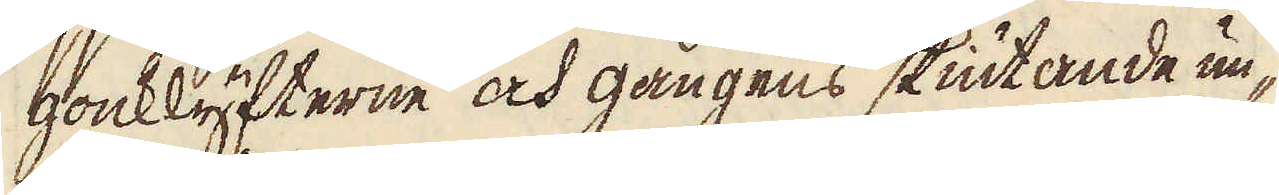gonklyfterne och gångens skiutande un-
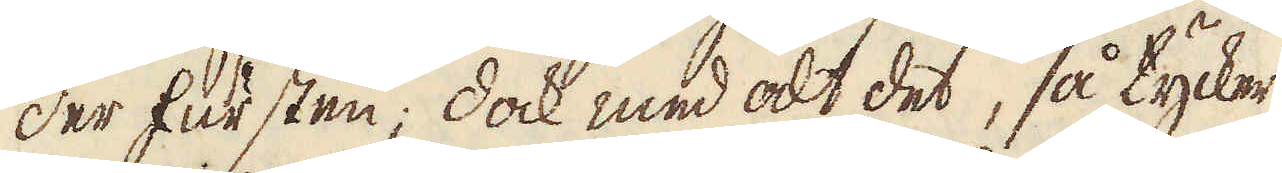der fursten; dock med alt det, så tycker
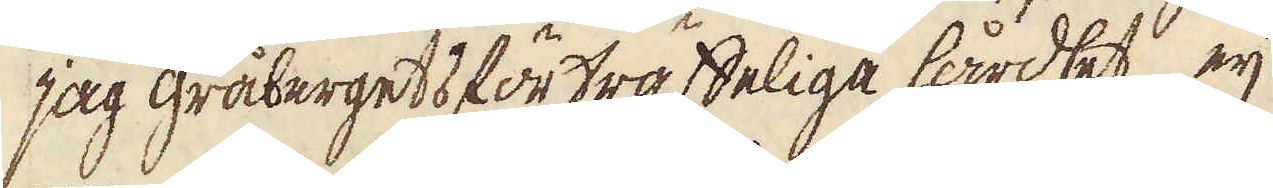jag gråbergets förträffeliga hårdhet eij
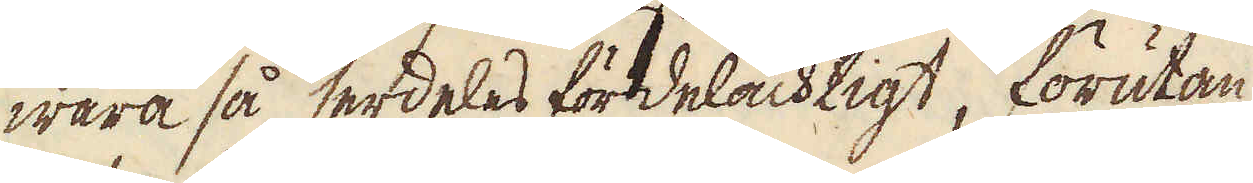wara så serdeles fördelachtigt, förutan
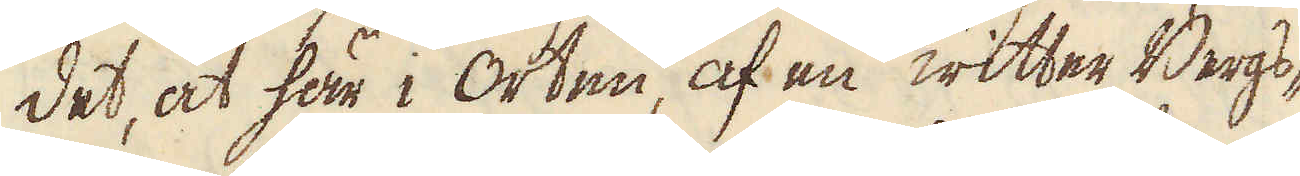det, at här i Orten, af en witter Bergs-
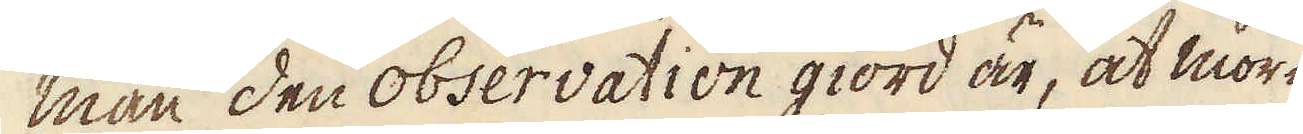man den observation giord är, at mor-
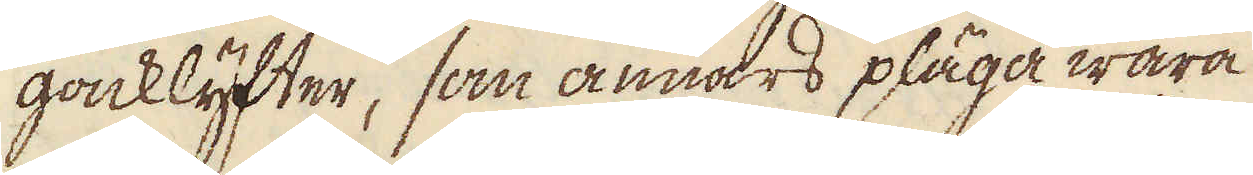gonklyfter, som annars pläga wara
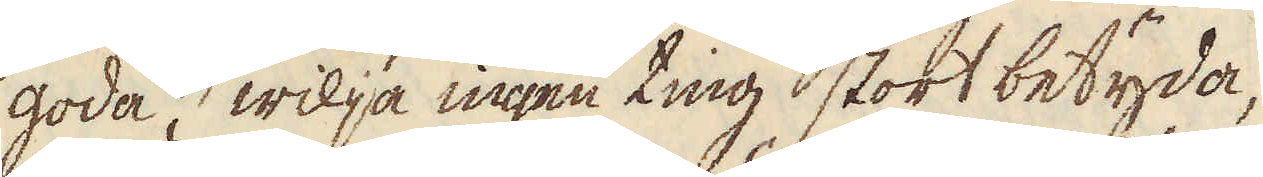goda, wilja ingen ting stort betyda,
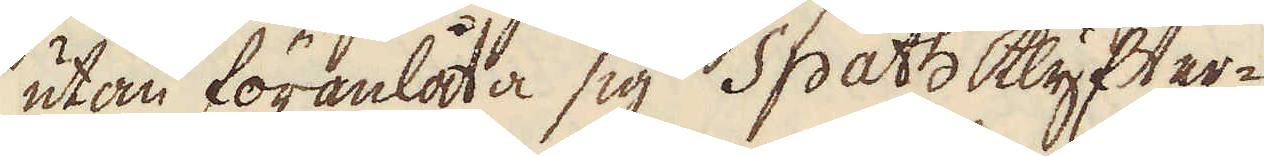utan föranlåta sig Spath klyfter-
